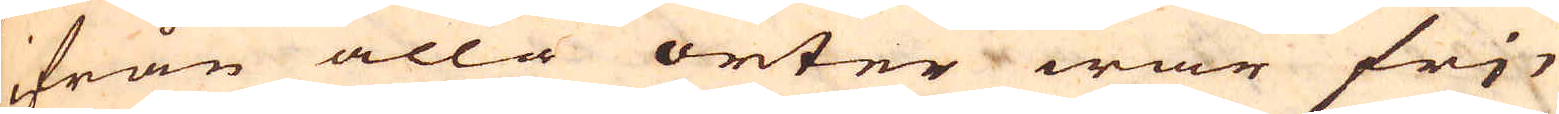ifrån alla orter war fri-
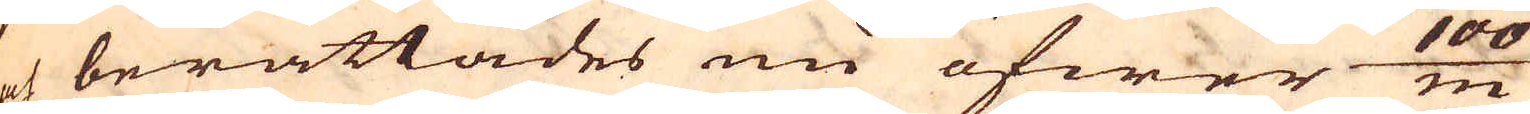och berättades nu öfwer 100/m
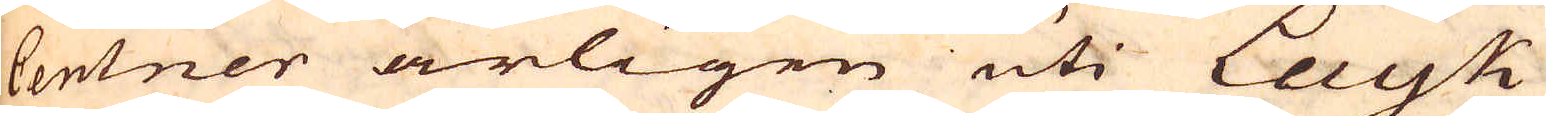Centner årligen uti Layk
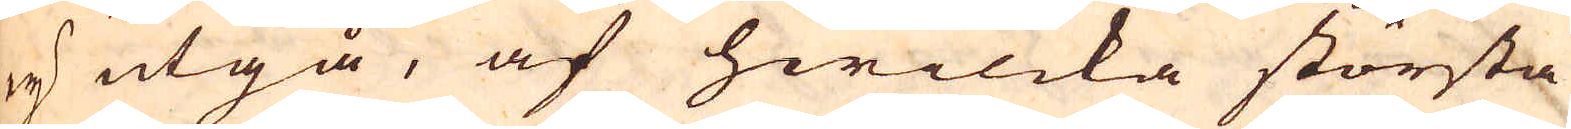ey utgå, af hwilcka största
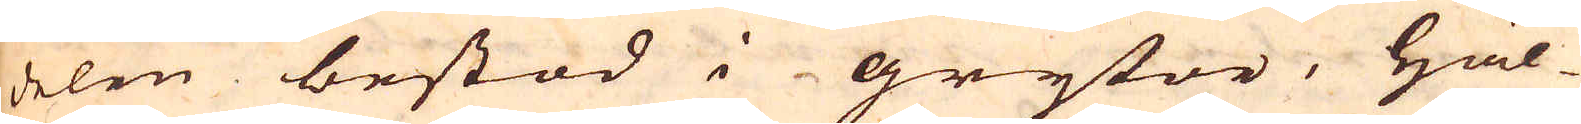delen bestod i grytor, häl-
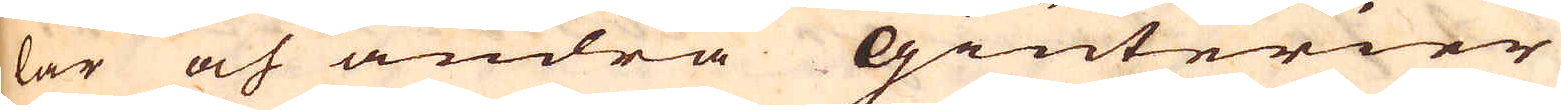lar och andra Giuterier
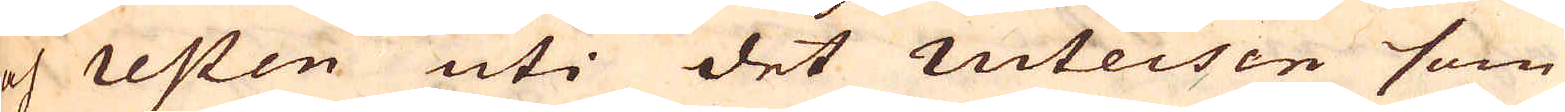och resten uti det ruteisen som
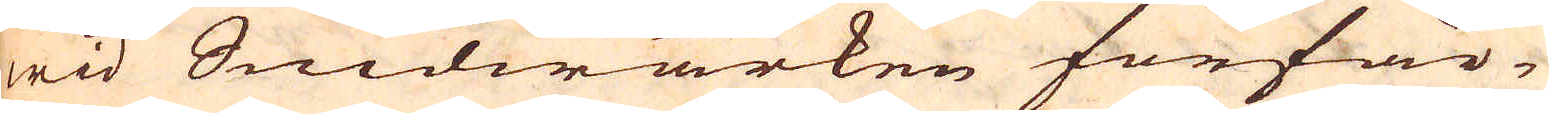wid Snidwärken förfär-
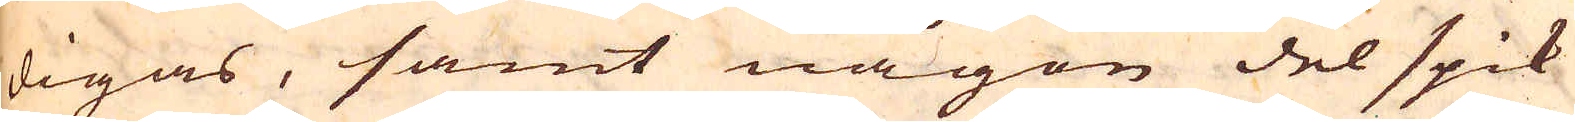digas, samt någon del spik
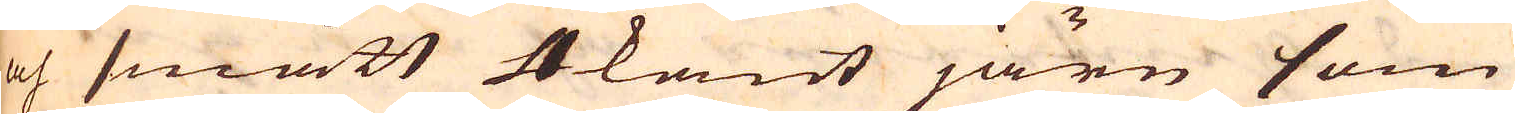och smått 4kant järn som
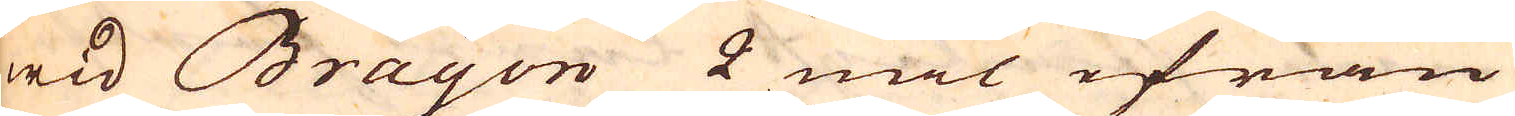wid Brayon 2 mil ifrån
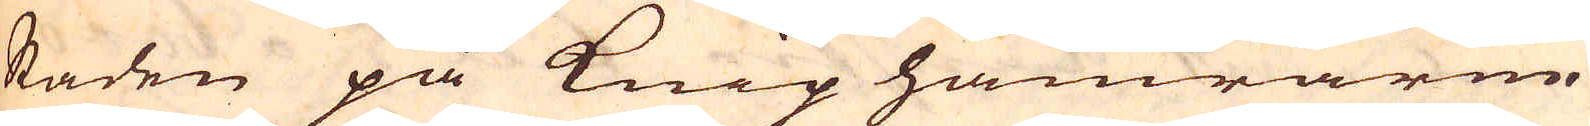staden på kniphamrarne
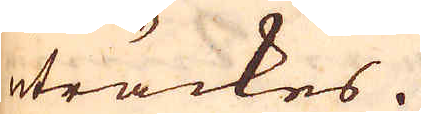uträckes.
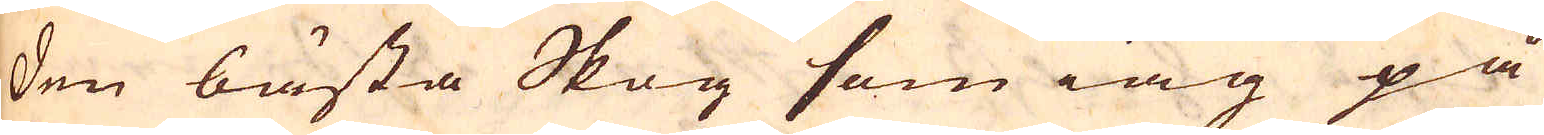Den bästa Skog som iag på
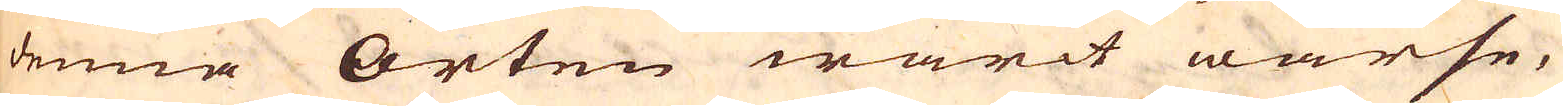denna Orten warit warse,
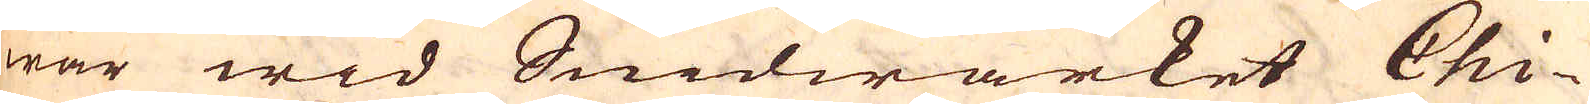war wid Snidwärket Chi-
